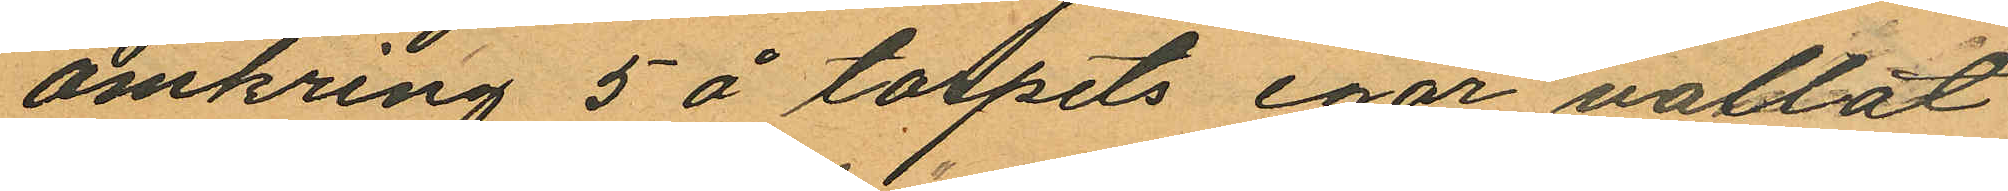omkring 5 å torpets egor vallat
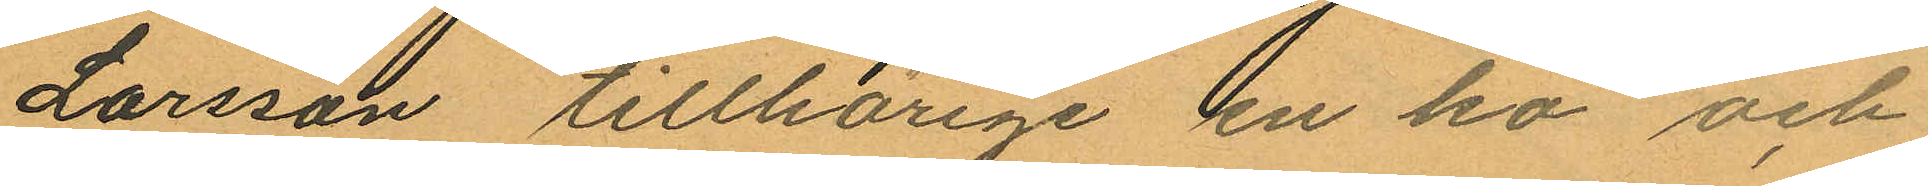Larsson tillhörige en ko och
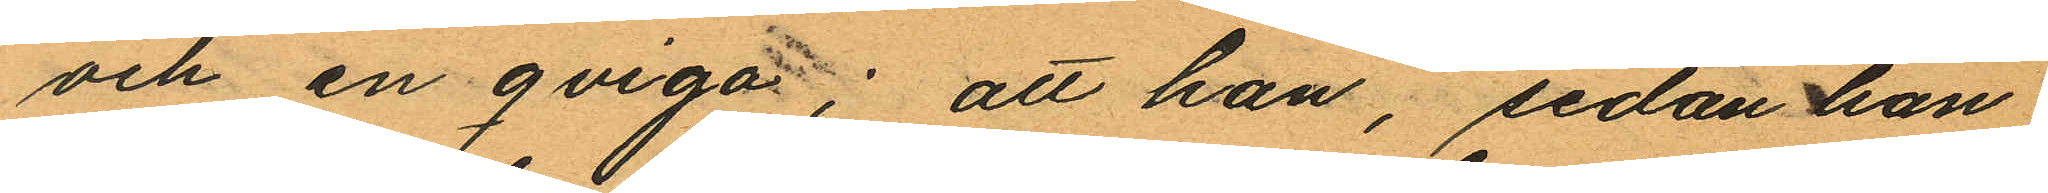och en qviga; att han, sedan han
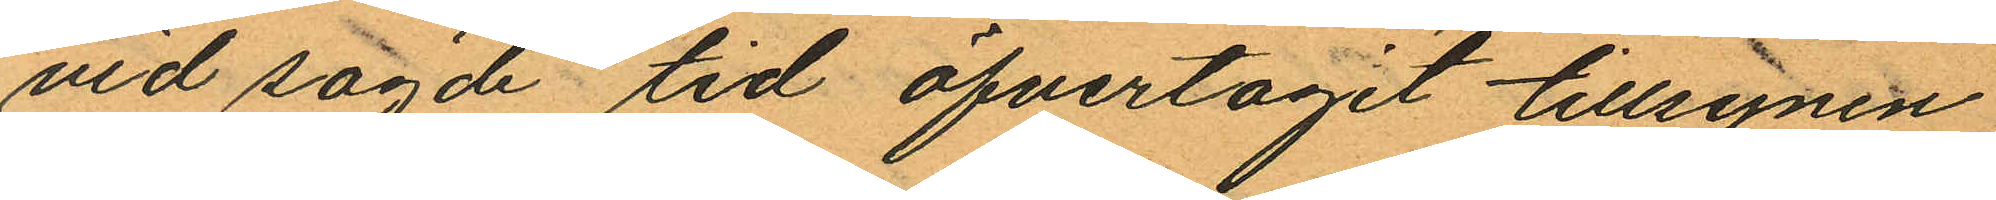vid sagde tid öfvertagit tillsynen
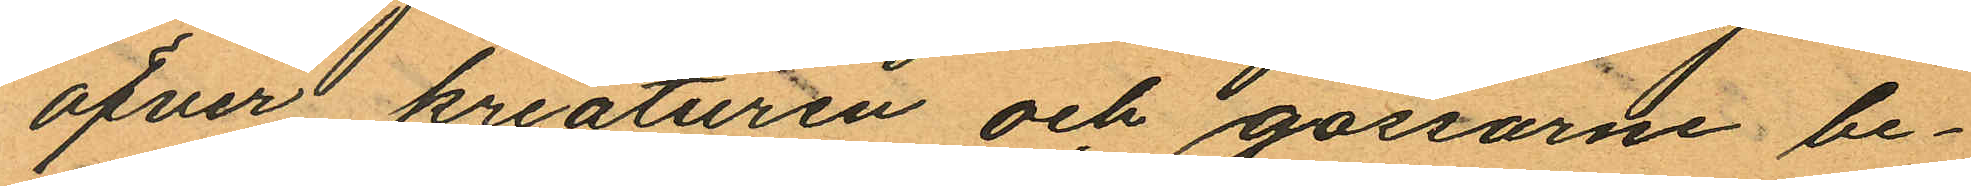öfver kreaturen och gossarne be¬
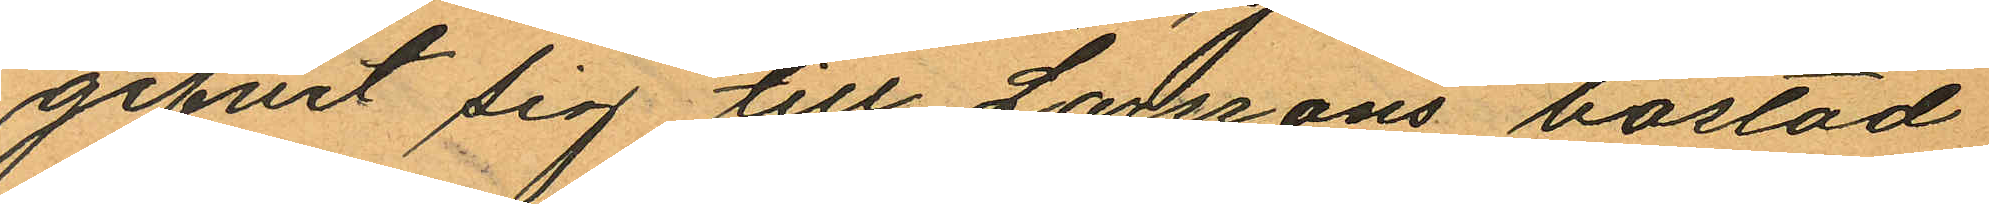gifvit sig till Larssons bostad
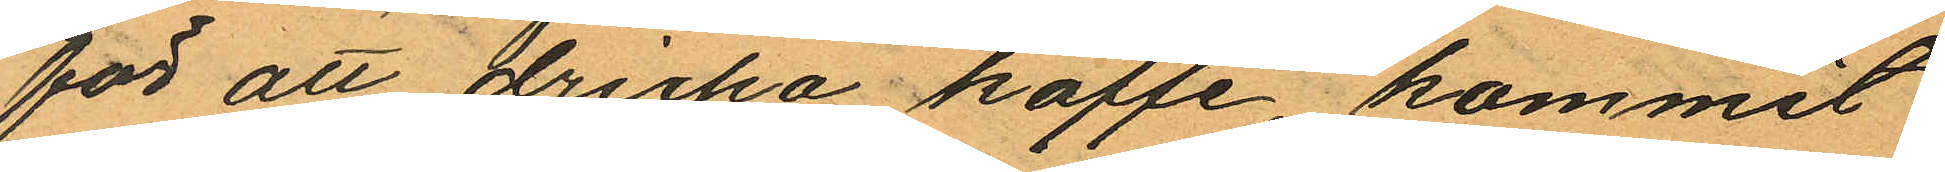för att dricka kaffe, kommit
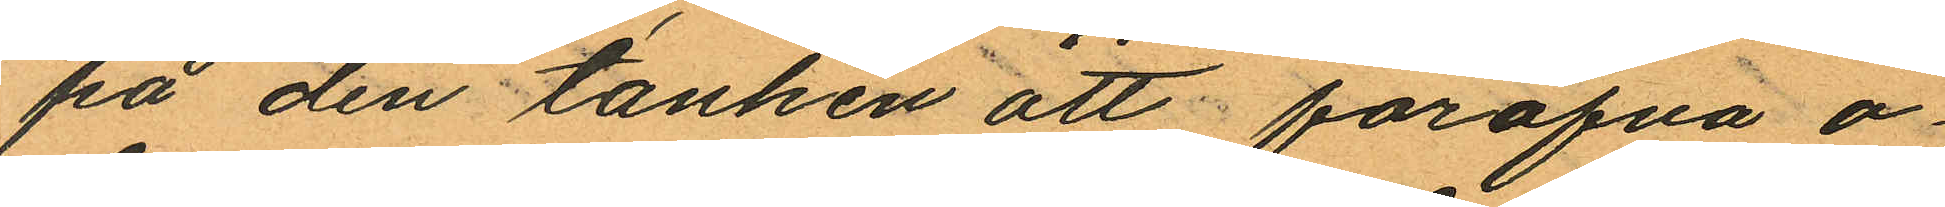på den tanken att föröfva o¬
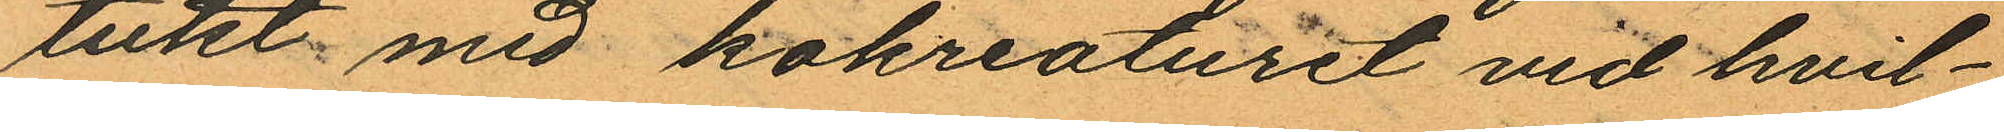tukt med kokreaturet vid hvil¬
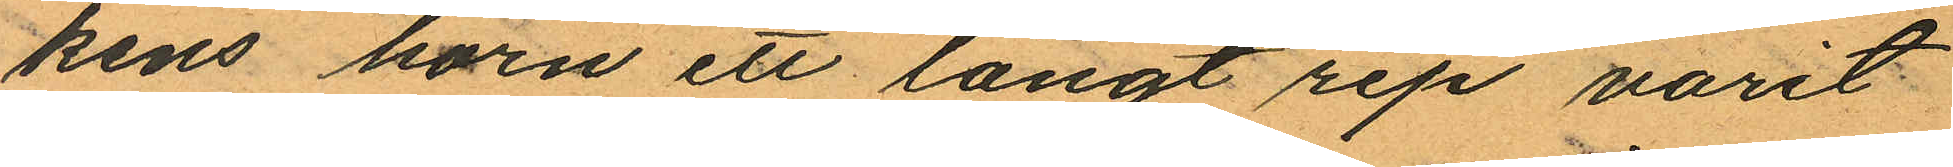kens horn ett långt rep varit
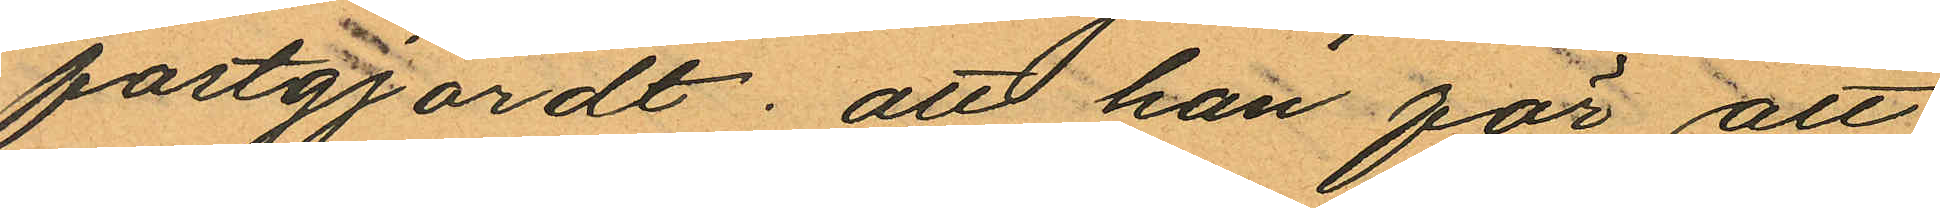fastgjordt; att han för att
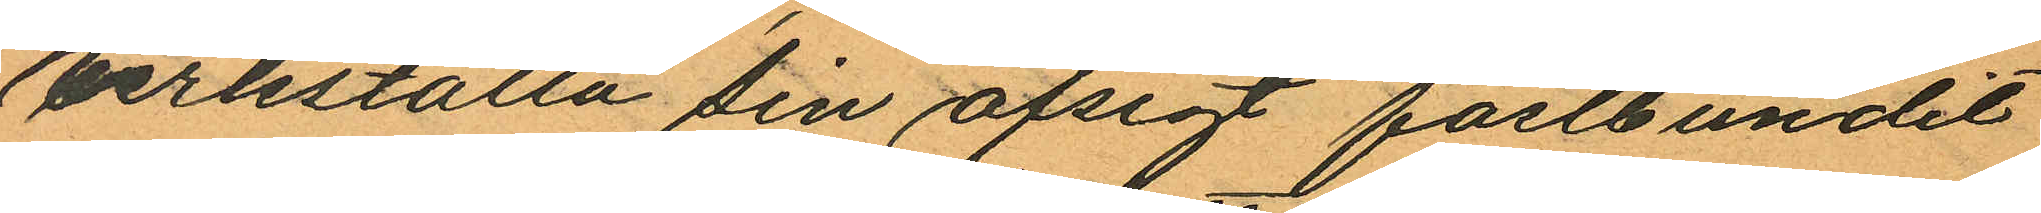verkställa sin afsigt fastbundit
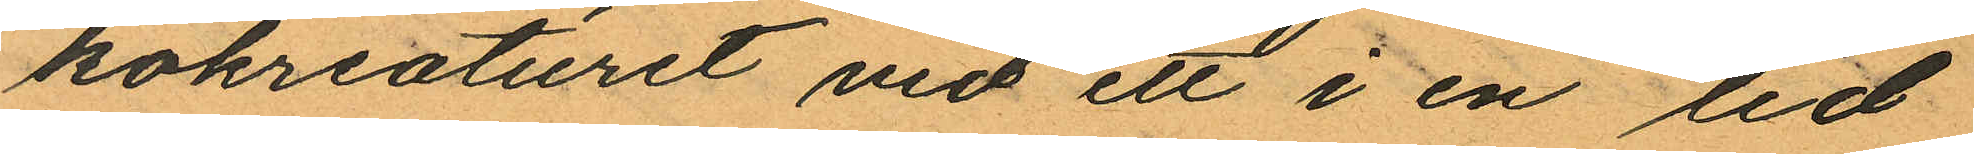kokreaturet vid ett i en lid
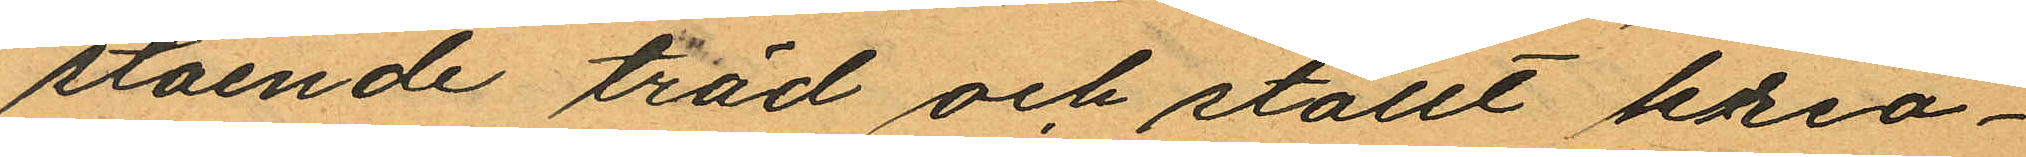stående träd och ställt krea¬
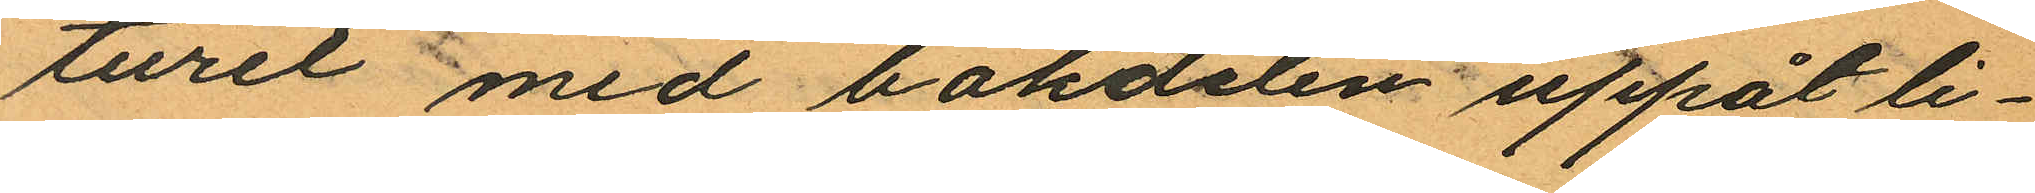turet med bakdelen uppåt li¬
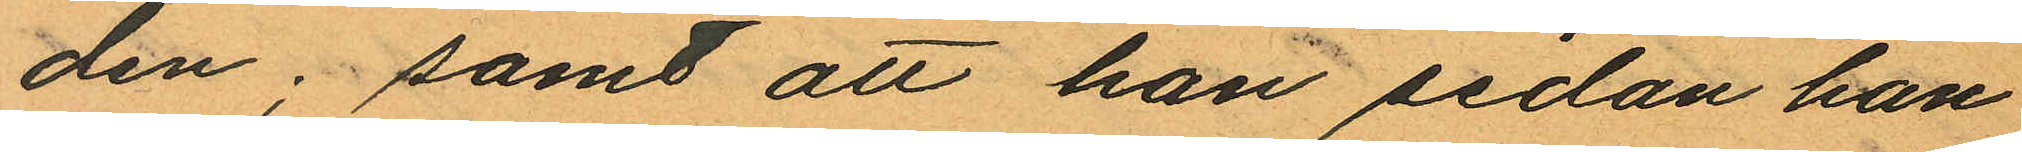den; samt att han sedan han
